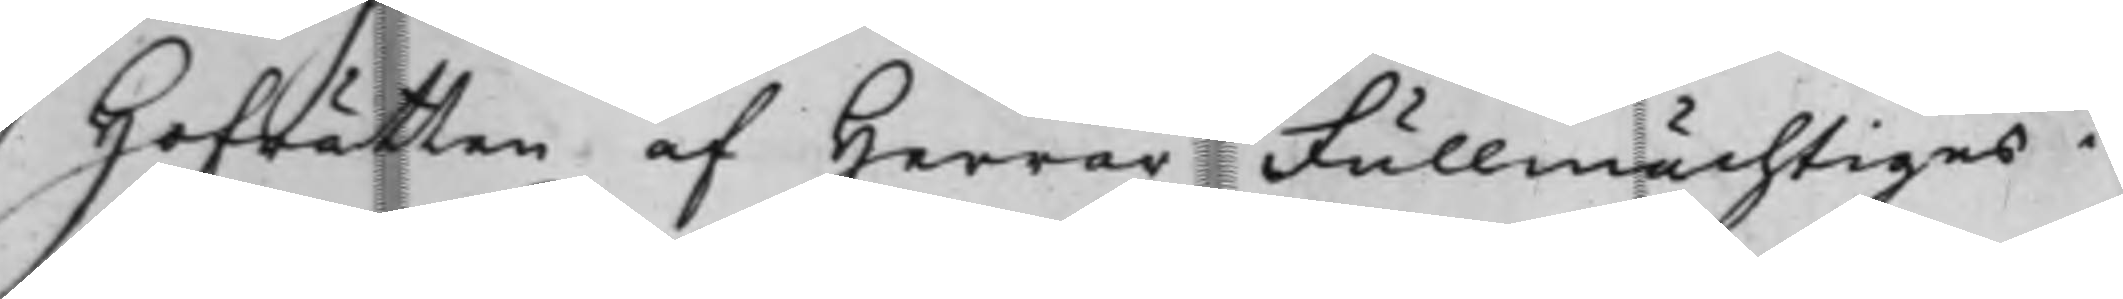Hofrätten af Herrar Fullmächtiges i
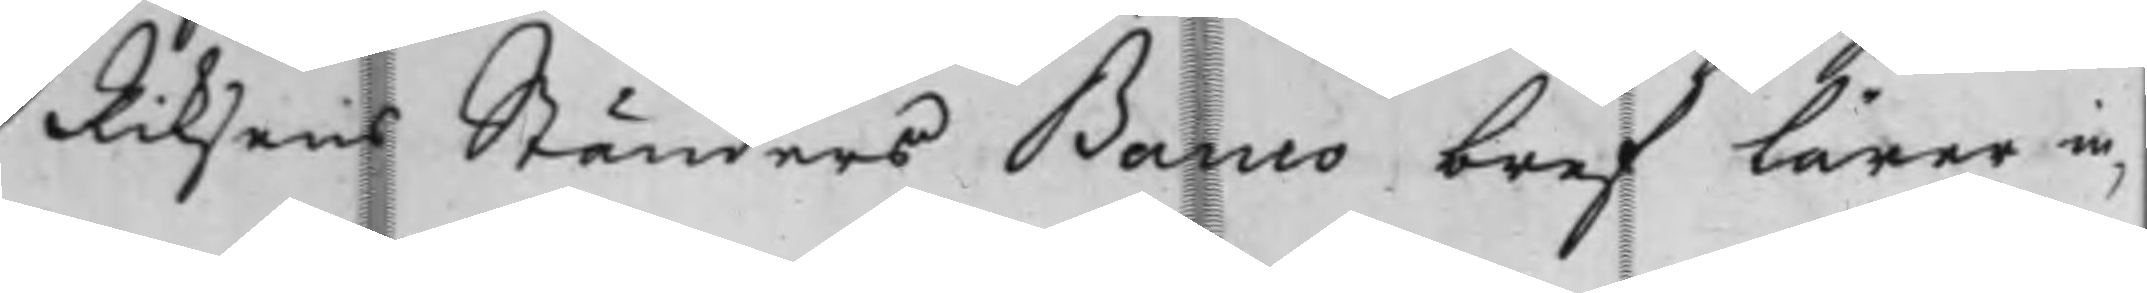Riksens Ständers Banco bref lärer in¬
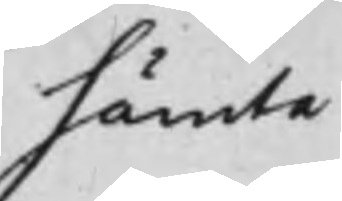hämta
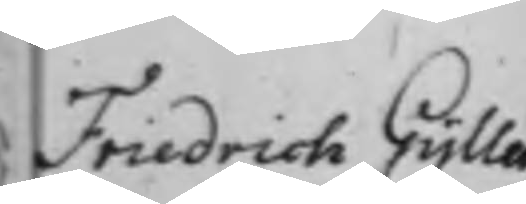Friedrich Gyllen¬
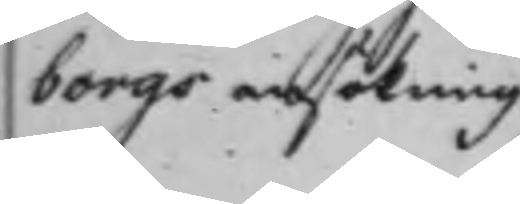borgs ansökning
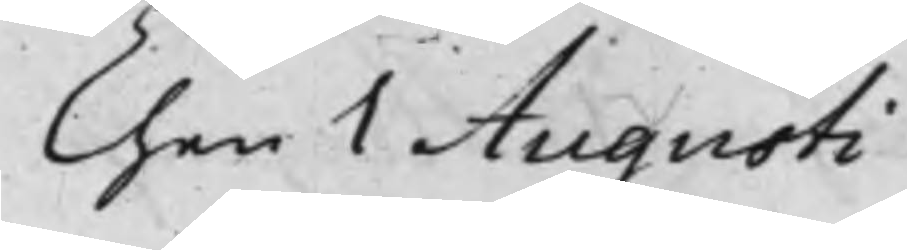Then 1 Augusti
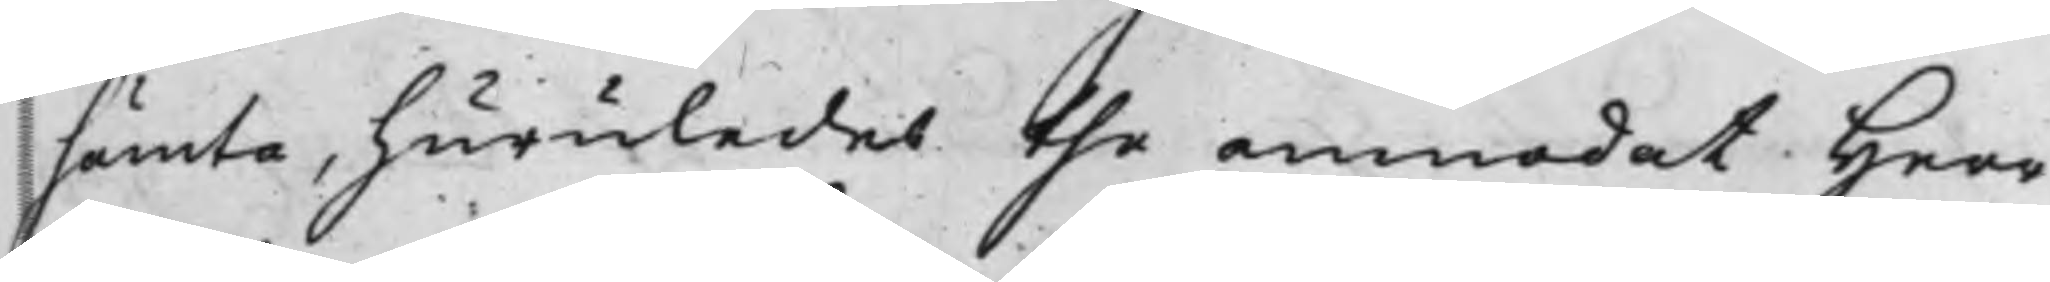hämta, huruledes the anmodat Herr
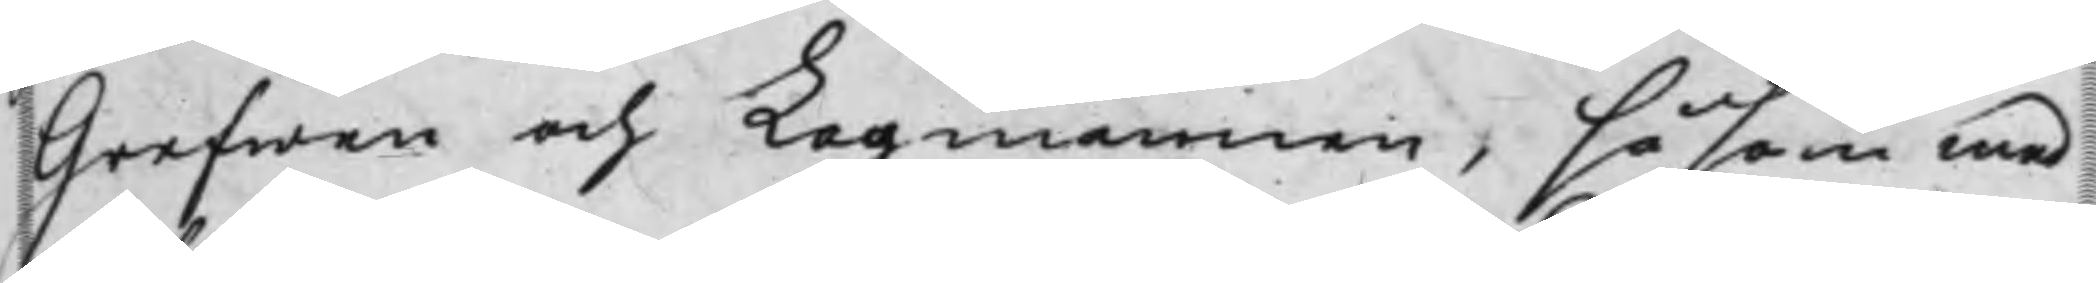Grefwen och Lagmannen, såsom med¬
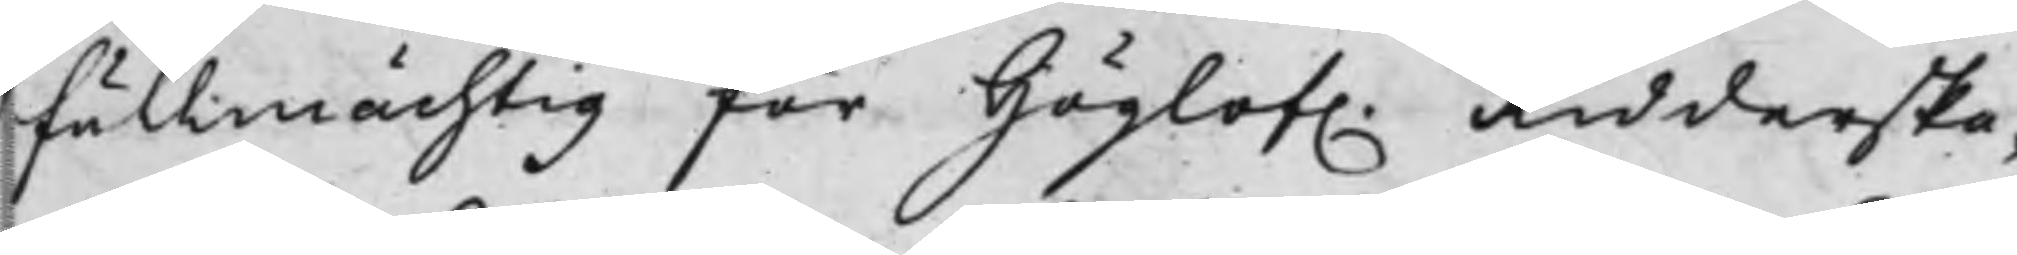fullmächtig för Höglof. Ridderska¬
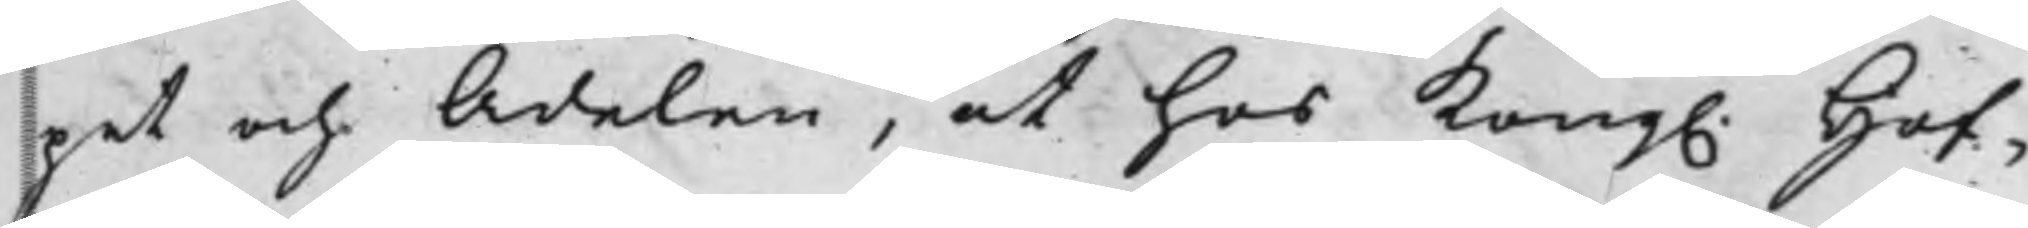pet och Adelen, at hos Kong. Hof¬
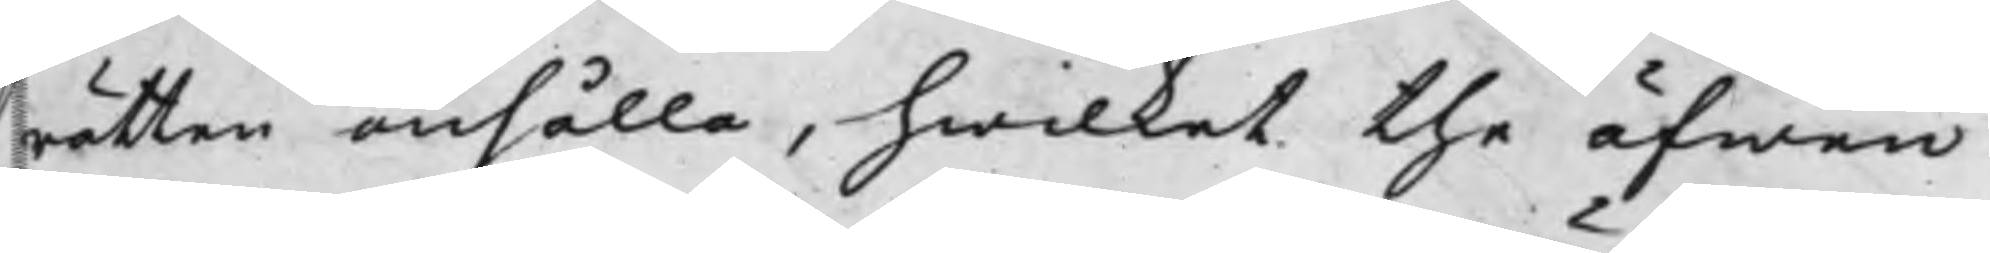rätten anhålla, hwilket the äfwen
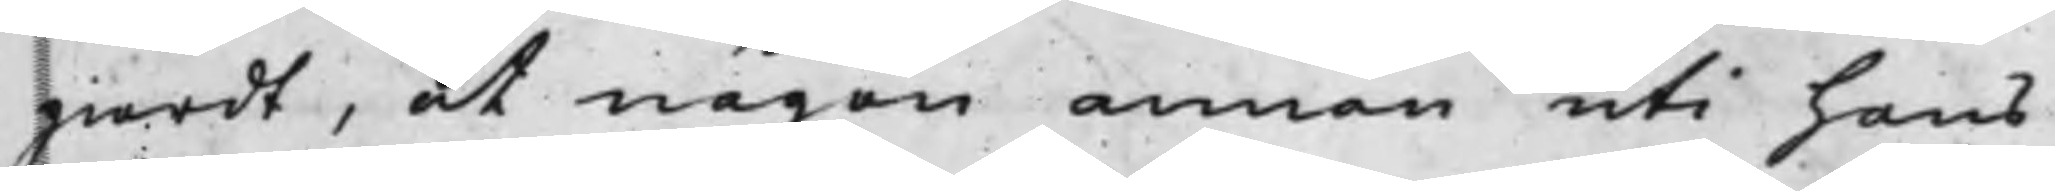giordt, at någon annan uti hans
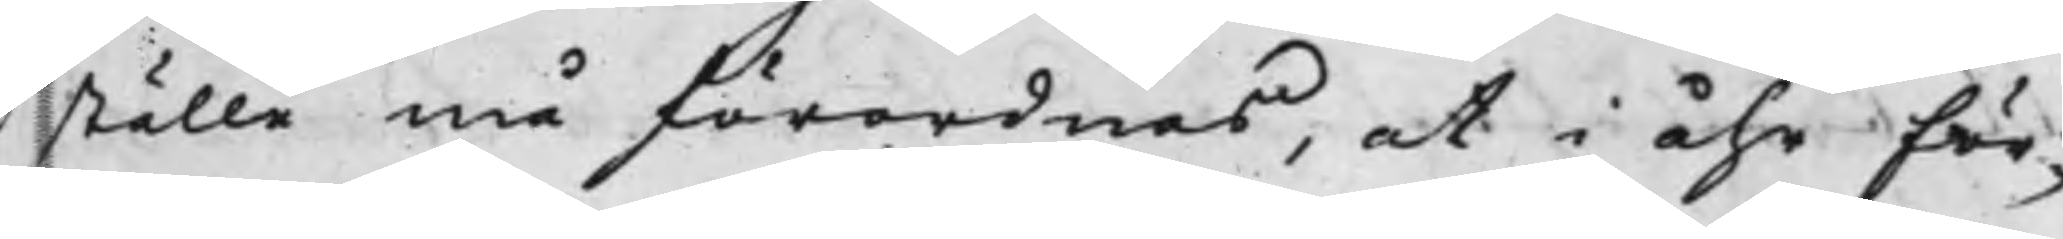ställe må förordnas, at i åhr för¬
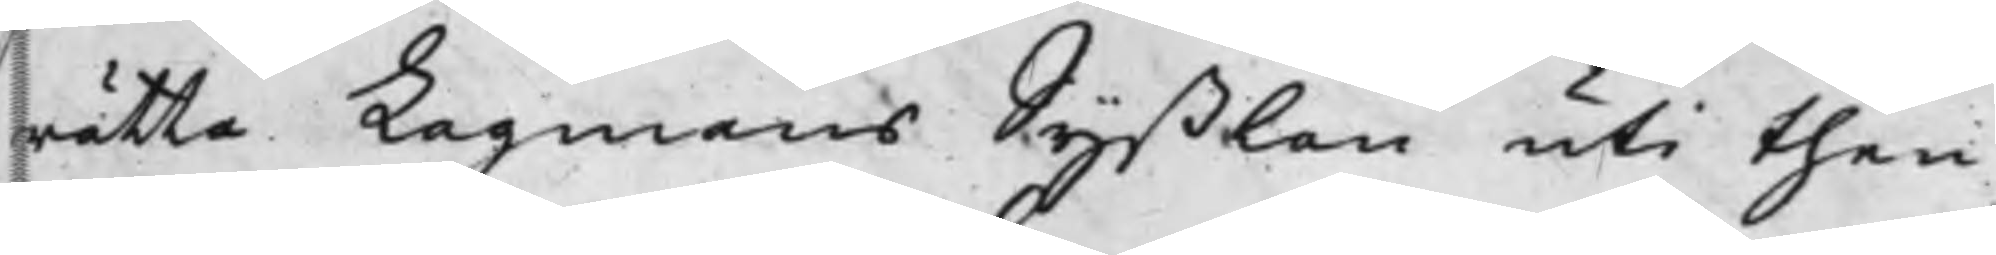rätta Lagmans Syßlan uti then
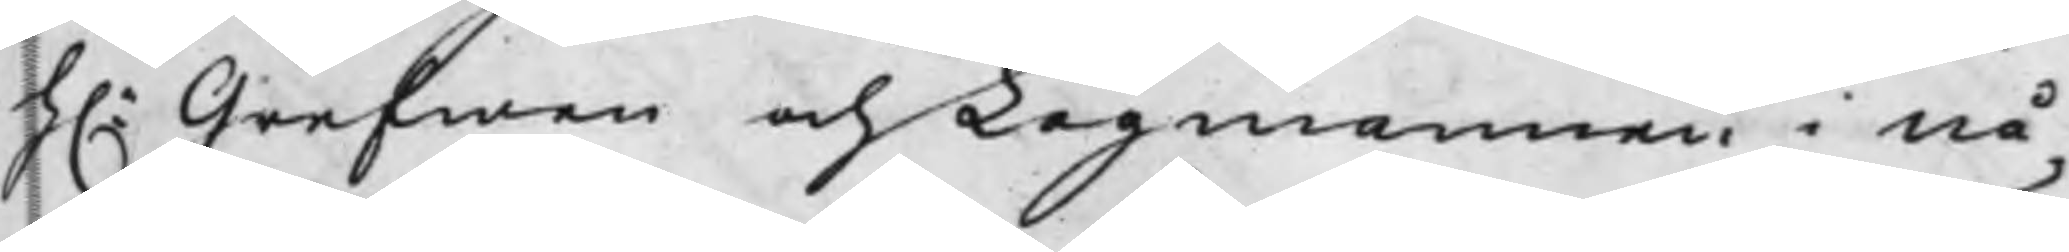h.r Grefwen och Lagmannen i nå¬
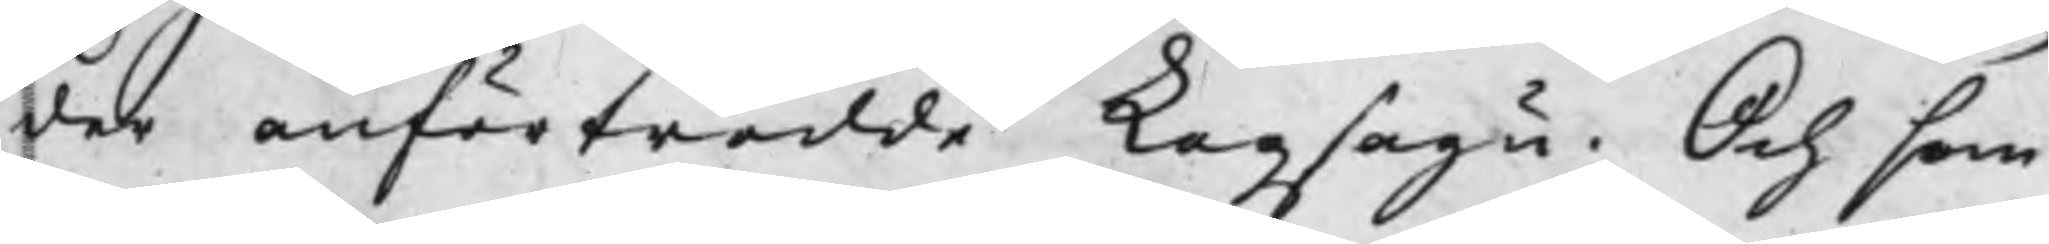der anförtrodde Lagsagu. Och som
